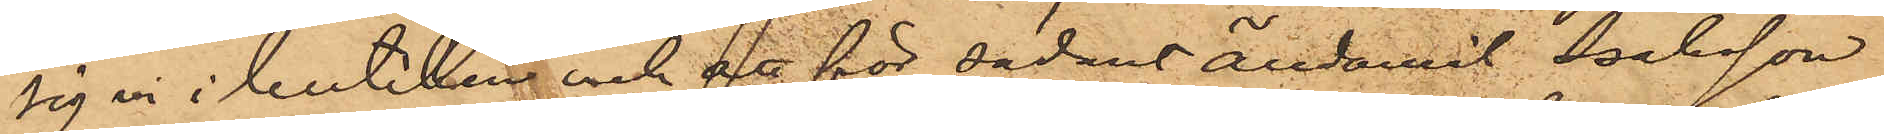sig in i butiken och att för sådant ändamål Isaksson
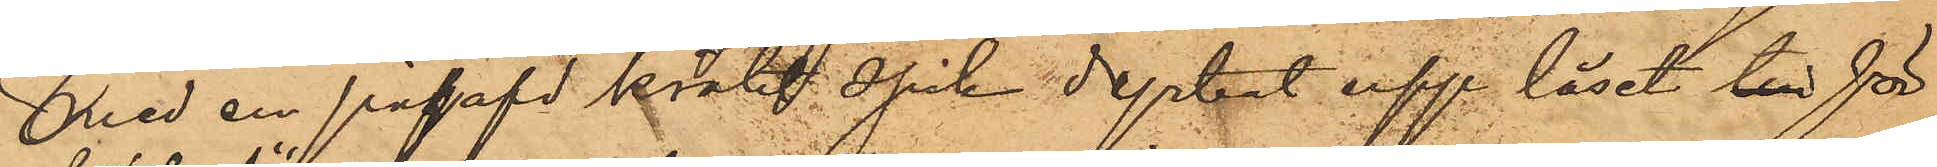med en påhafd krökt spik dyrkat upp låset till för
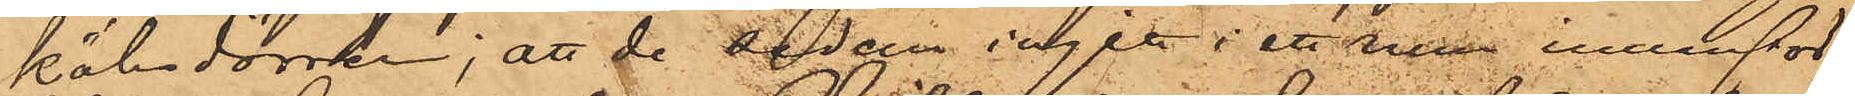köksdörren; att de sedan ingått i ett rum innanför
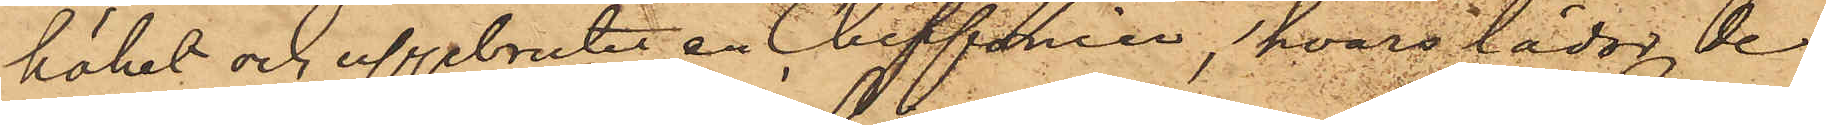köket och uppbrutit en Chiffonier, hvars lådor de
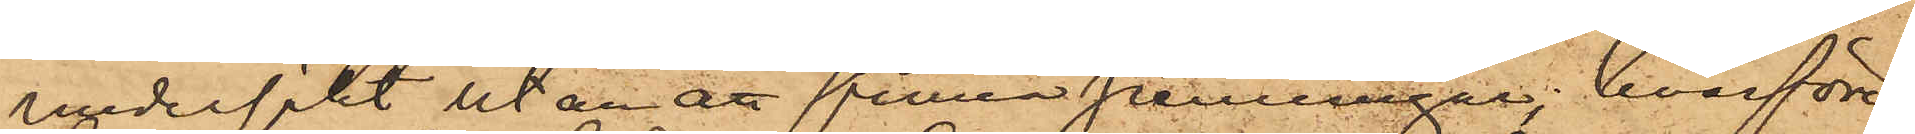undersökt utan att finna pennigar, hvarföre
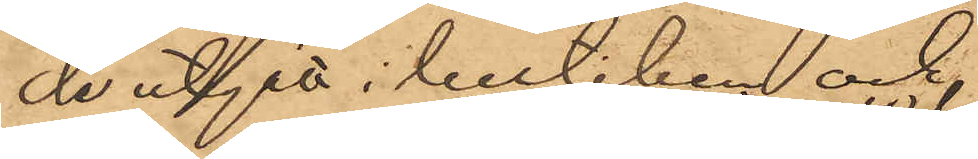de utgått i butiken och 
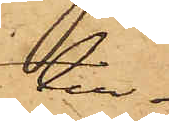till¬
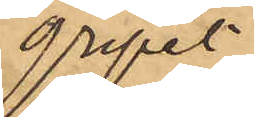gripit
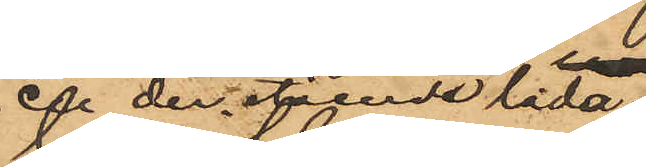en der stående låda,
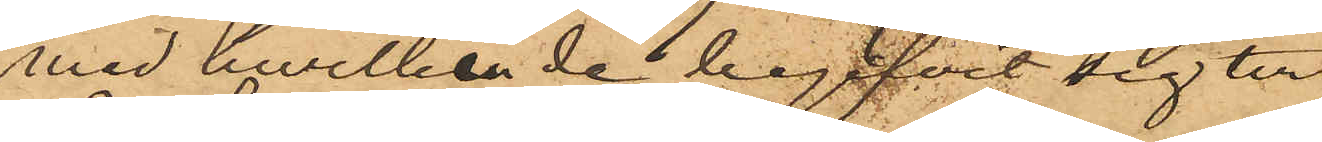med hwilken de begifvit sig till
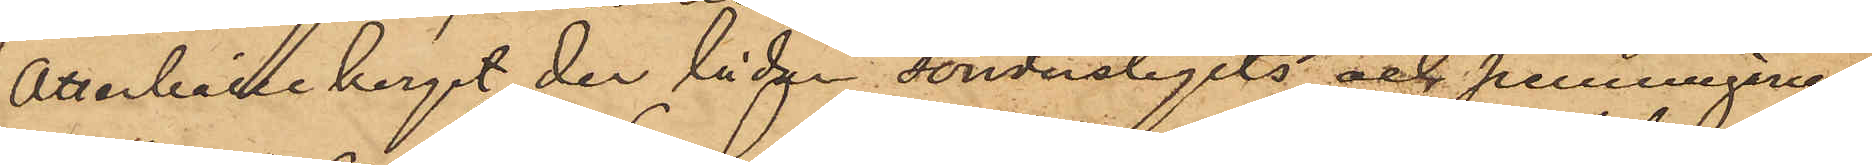Otterhälleberget der lådan sönderslagits och penningarne,
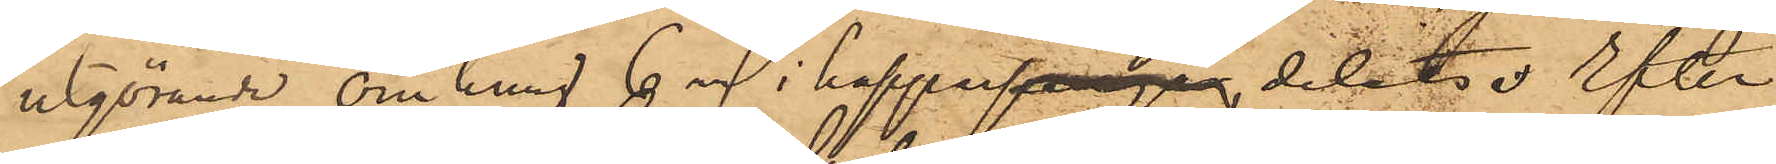utgörande omkring 6 rdr i koppar, delade. Efter
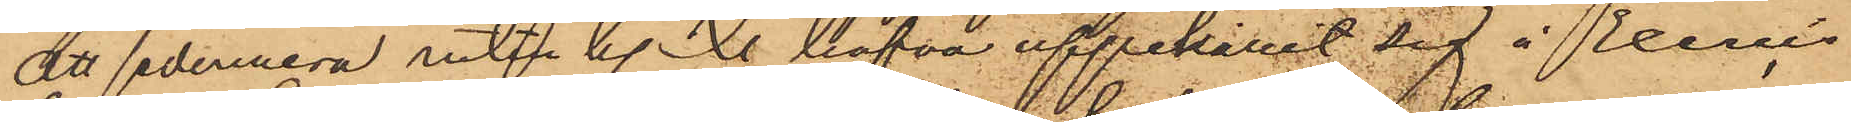att sedermera intill kl. X hafva uppehållit sig å Exercis¬
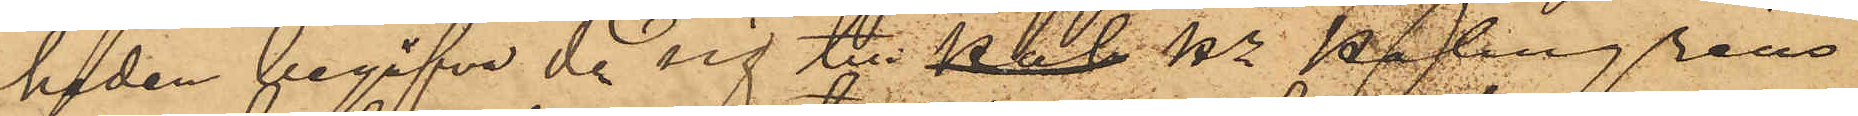heden begåfvo de sig till pal Hr Palmgrens
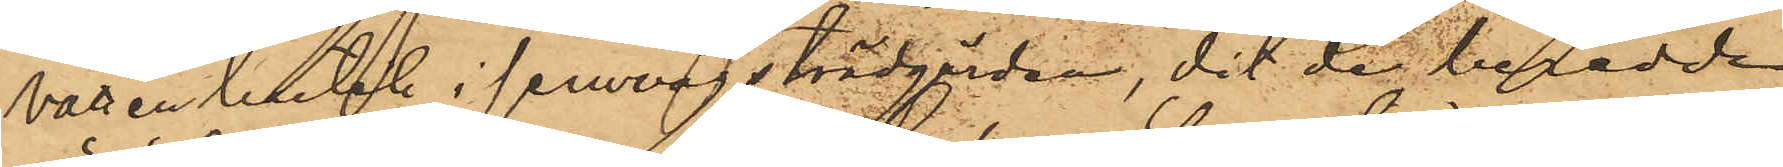vattenbutik i jernvågsträdgården, dit de beredde
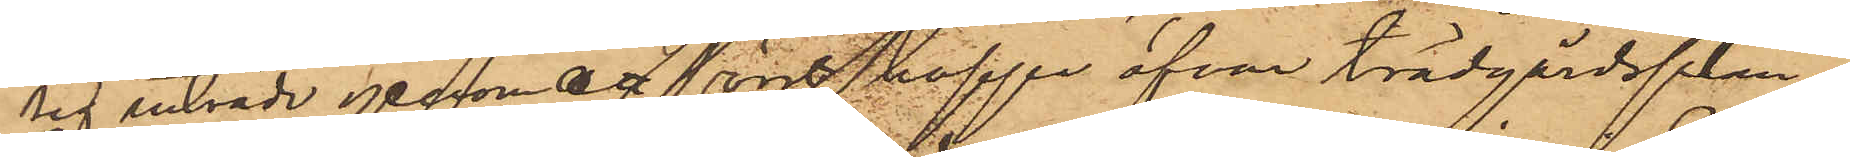sig inträde genom att först hoppa öfver trädgårdsplan¬
